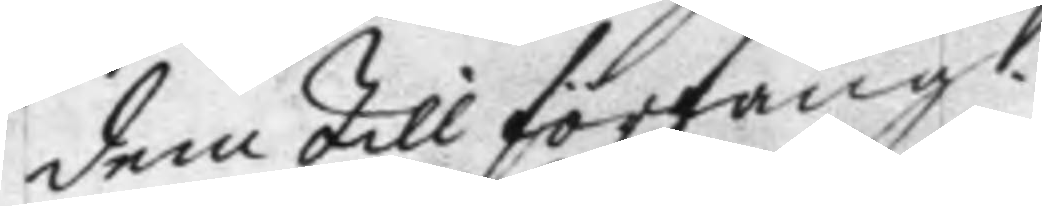dem till förfång.
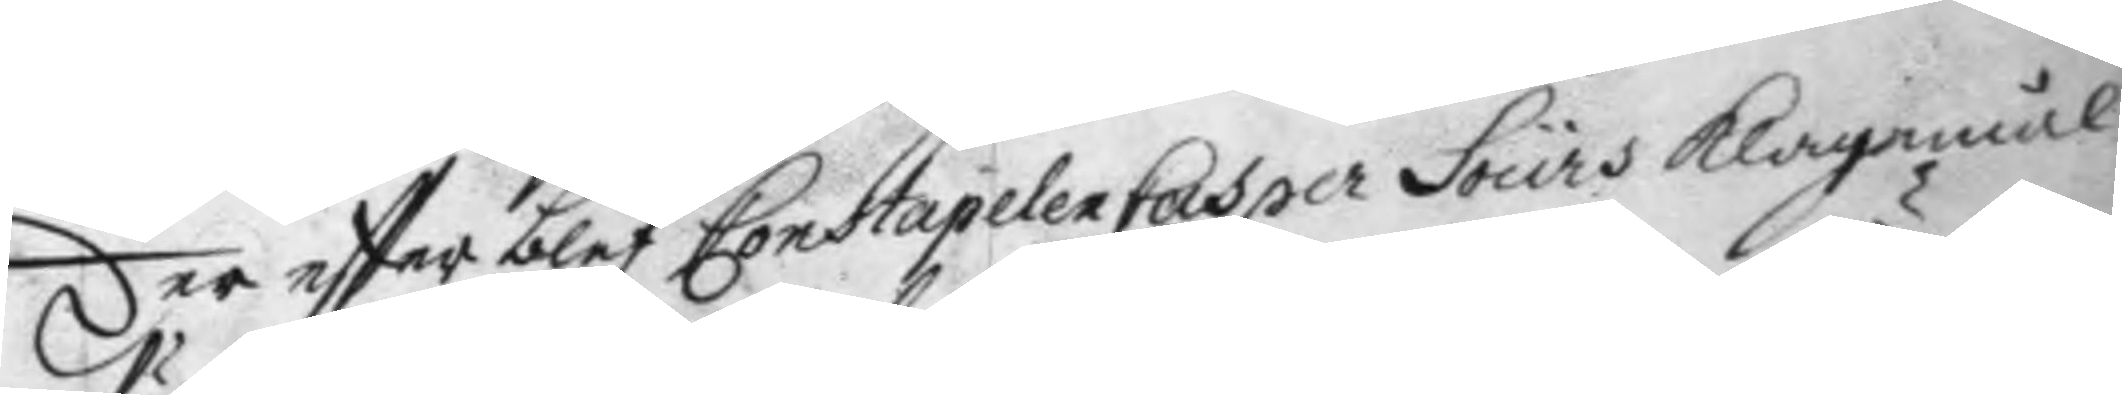der eftter blef Constapelen Casper Sours klagomål
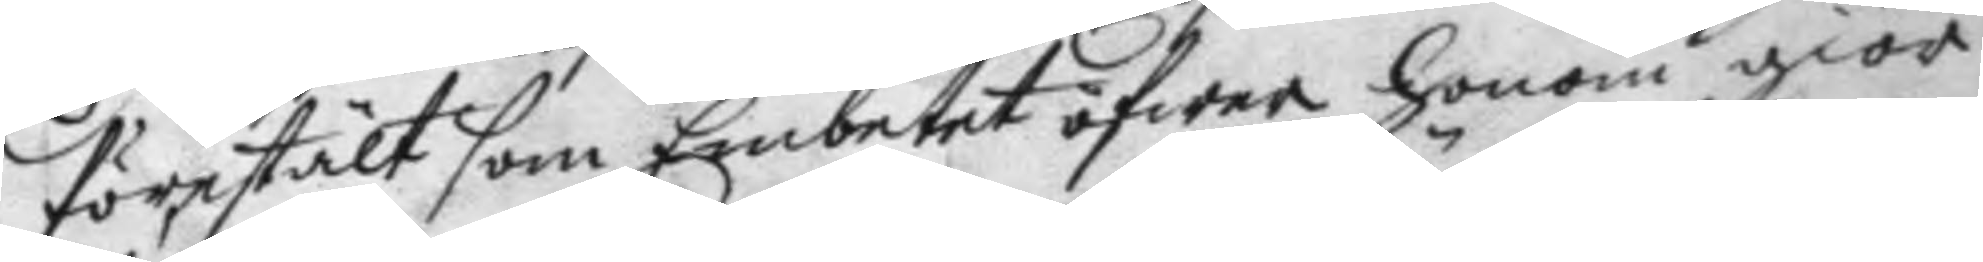förestält som Embetet öfwer honom giör:
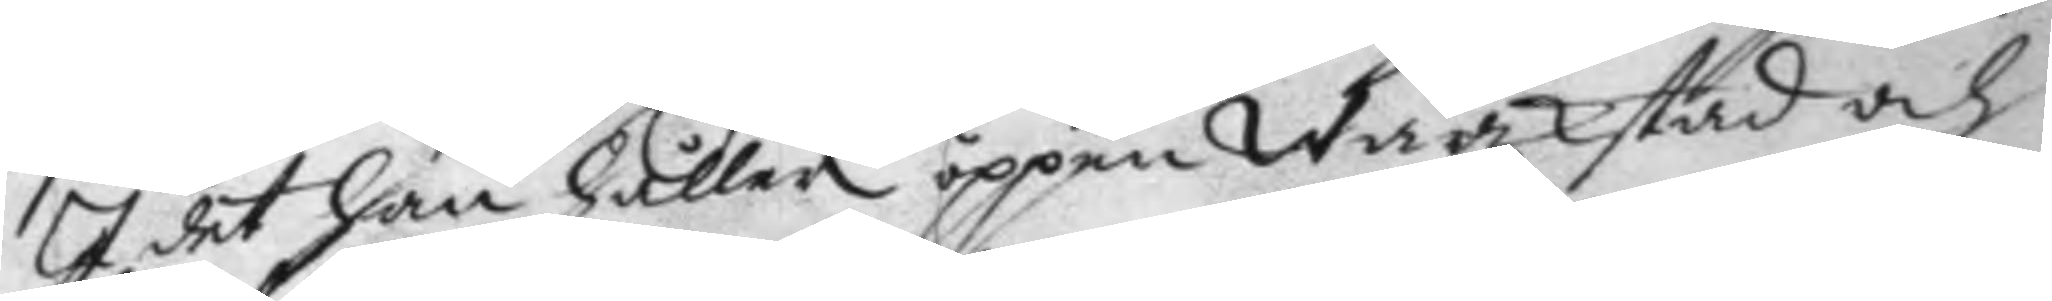I det han håller öppen Wärkstad och
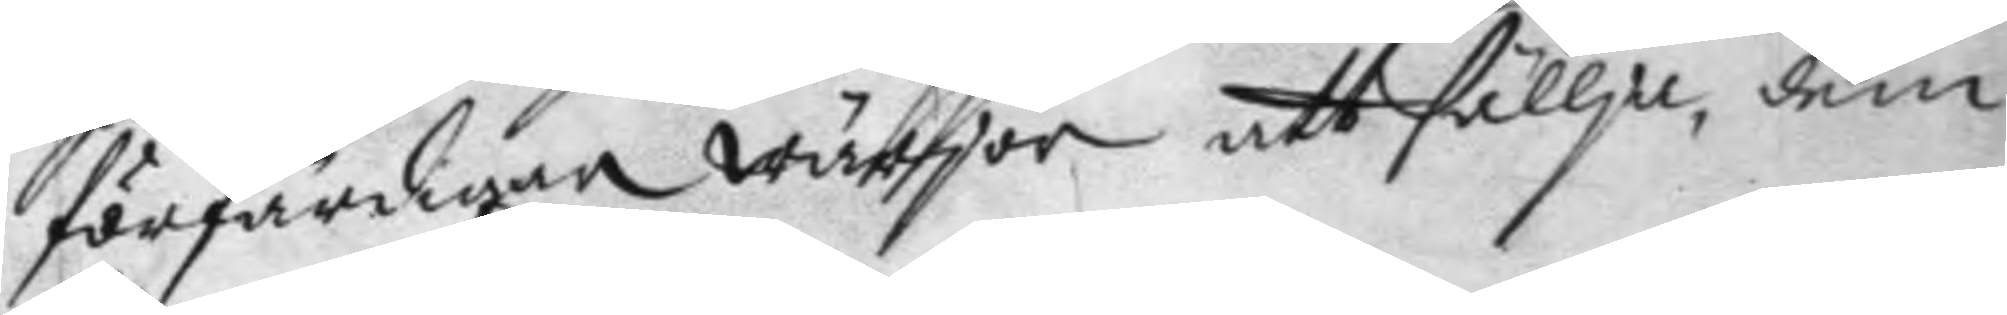förfärdigar Wärjor att sällja, dem
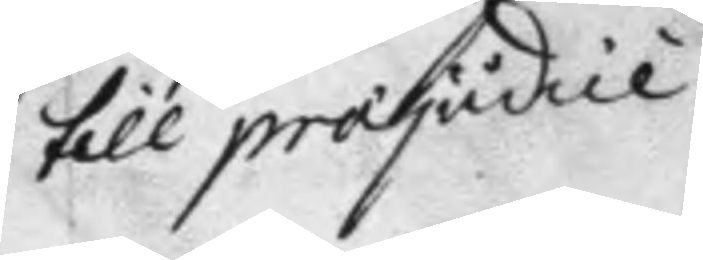till projudice
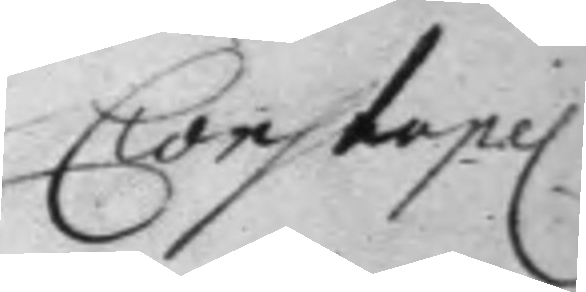Constapel
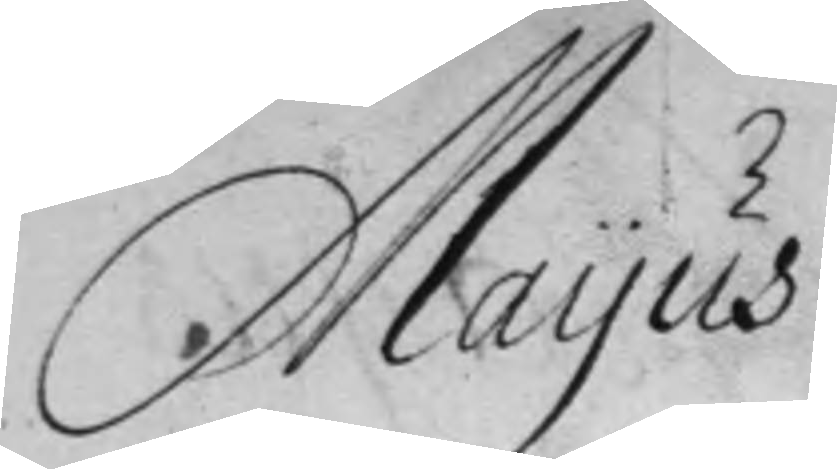Mayus
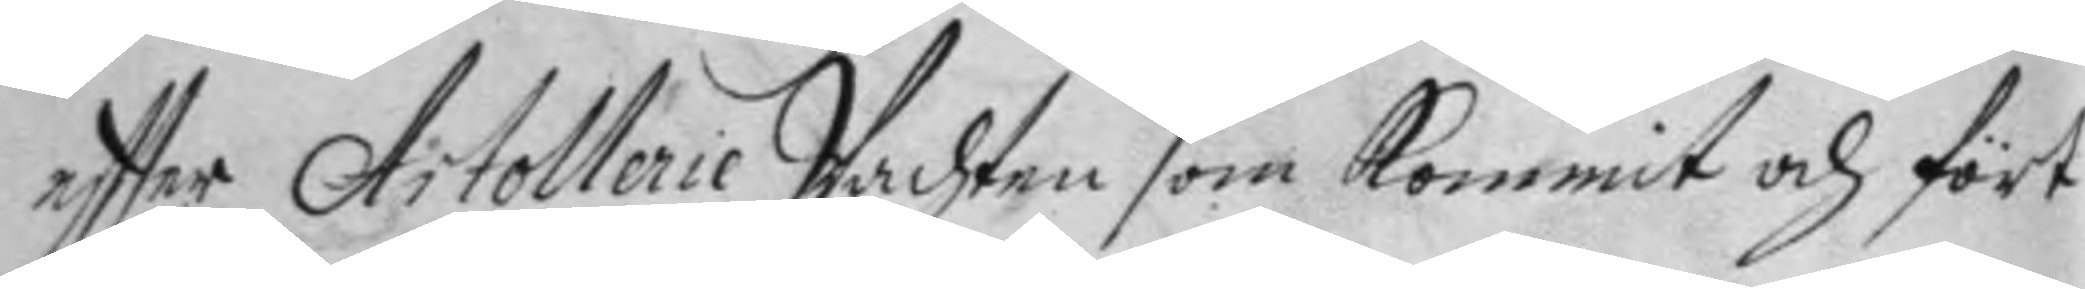eftter Artollerie Wachten som kommit och fört
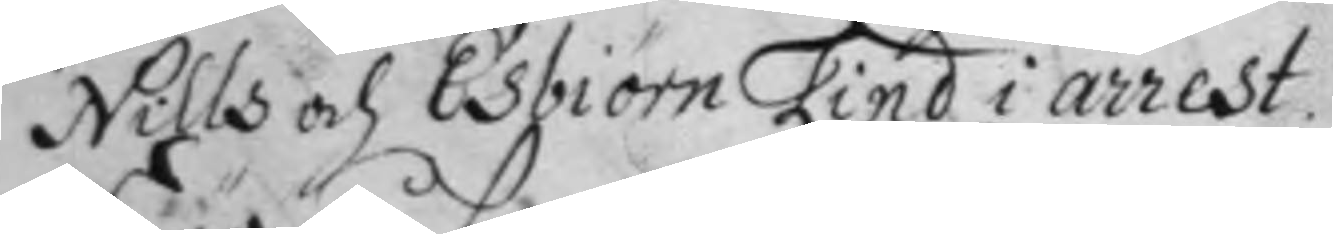Nills och Esbiörn Lind i arrest.
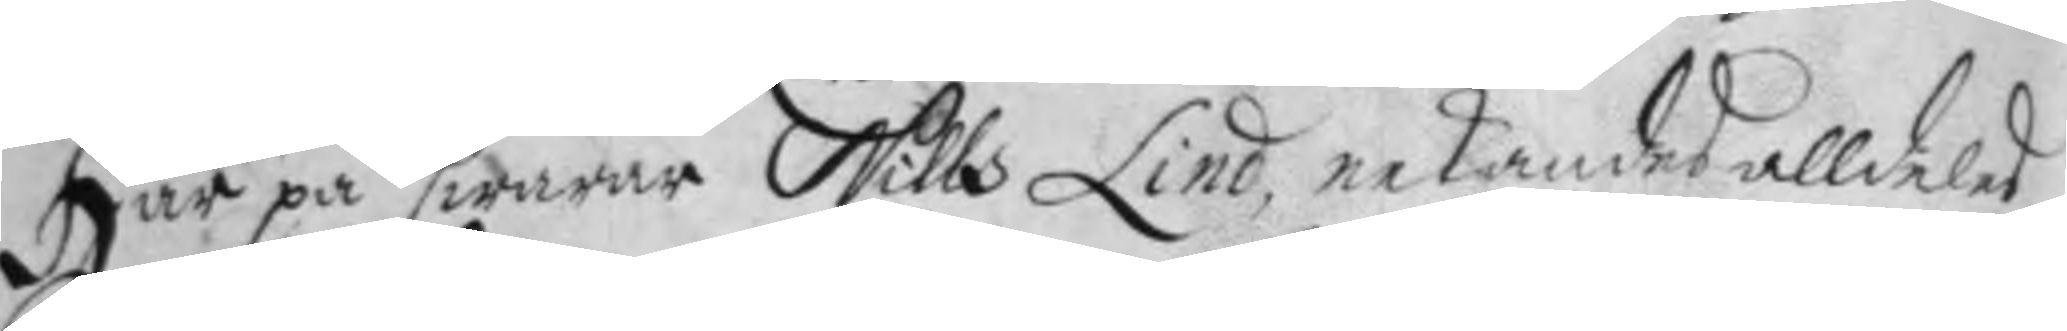Här på swarar Nills Lind nekandes alldeles
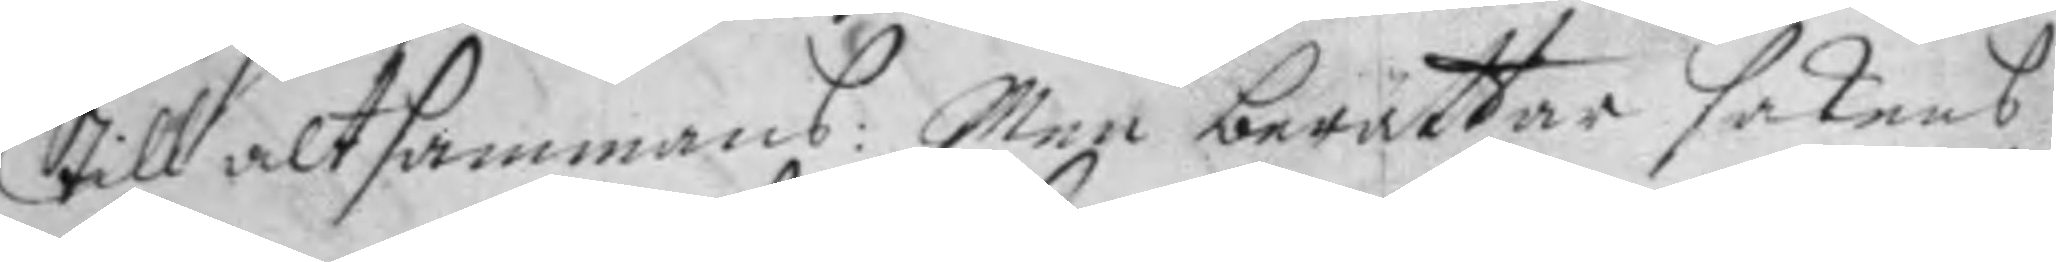Till alt sammans: Men berättar sakens
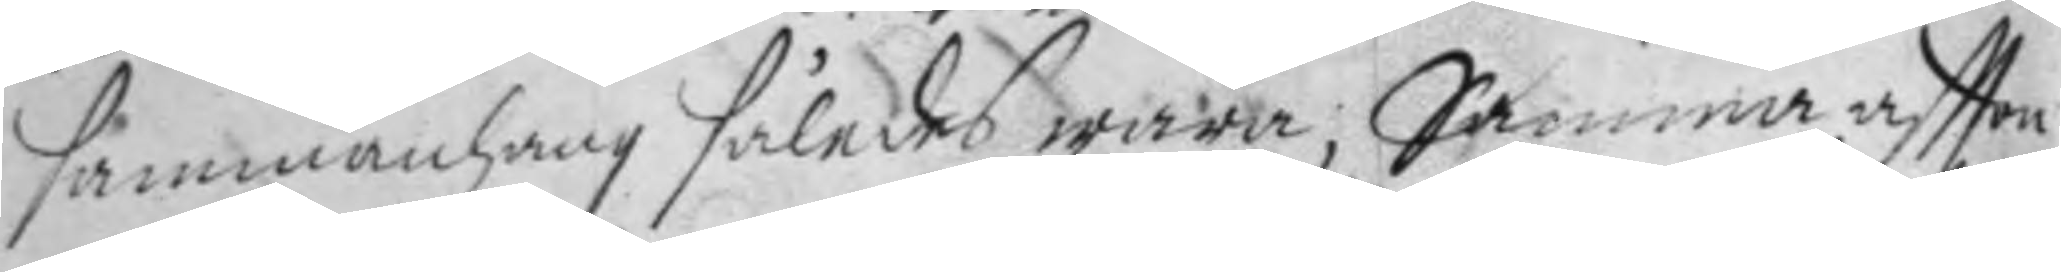sammanhang således wara; Samma aftton
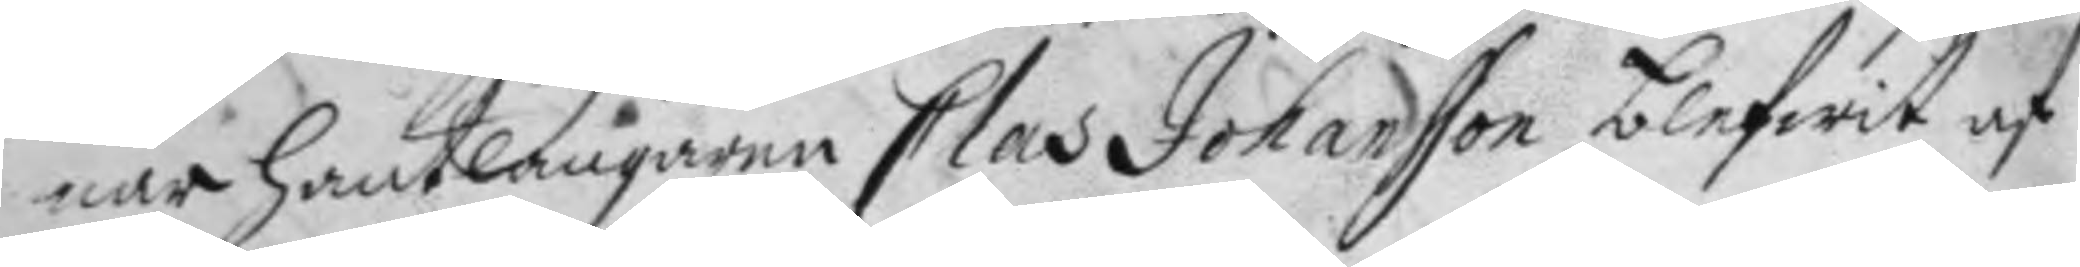när hantlangaren Clas Johansson blefwit af
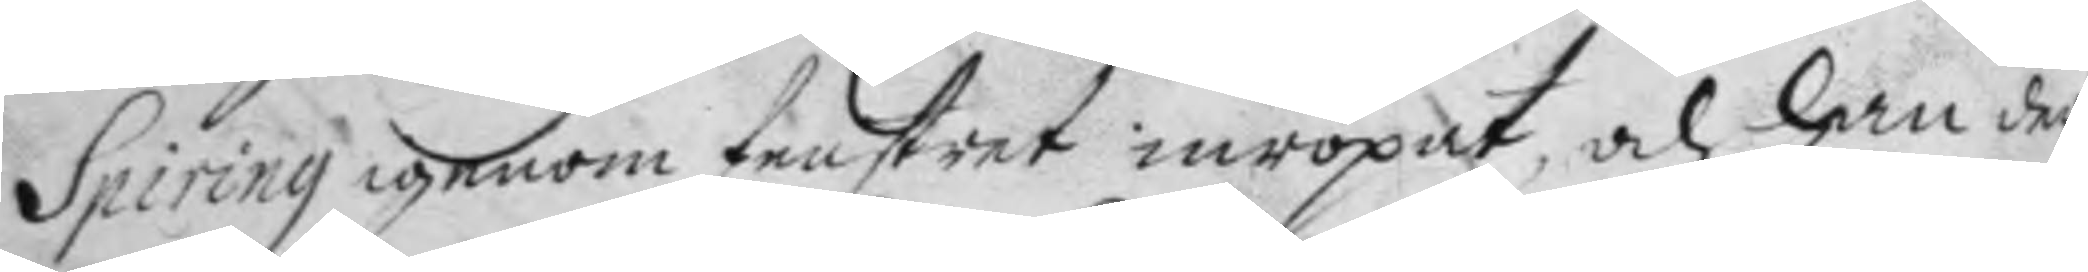Spiring igenom fenstret inropat, och han der
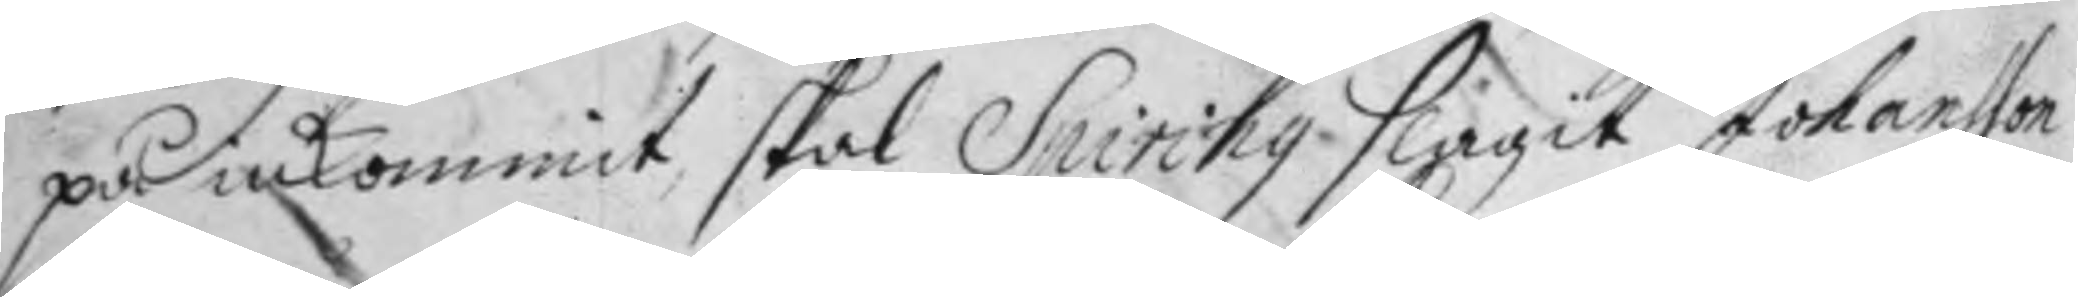på inkommit skal Spiring slagit Johansson
